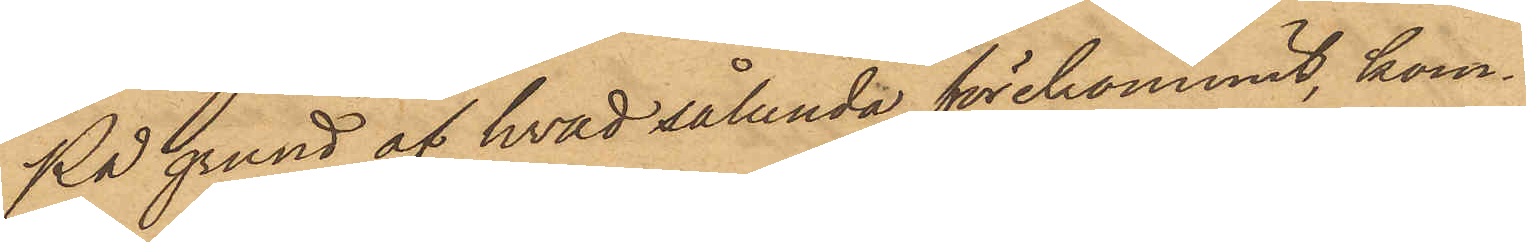På grund af hvad sålunda förekommit, kom¬
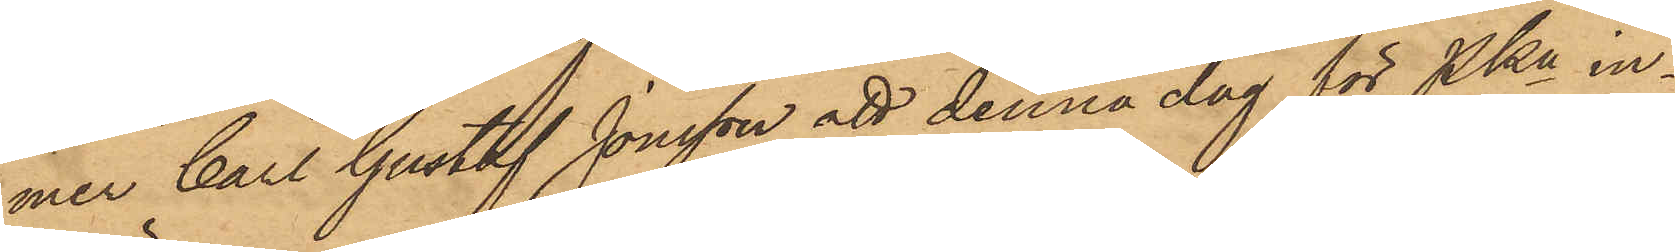mer Carl Gustaf Jonsson att denna dag för PKn in¬
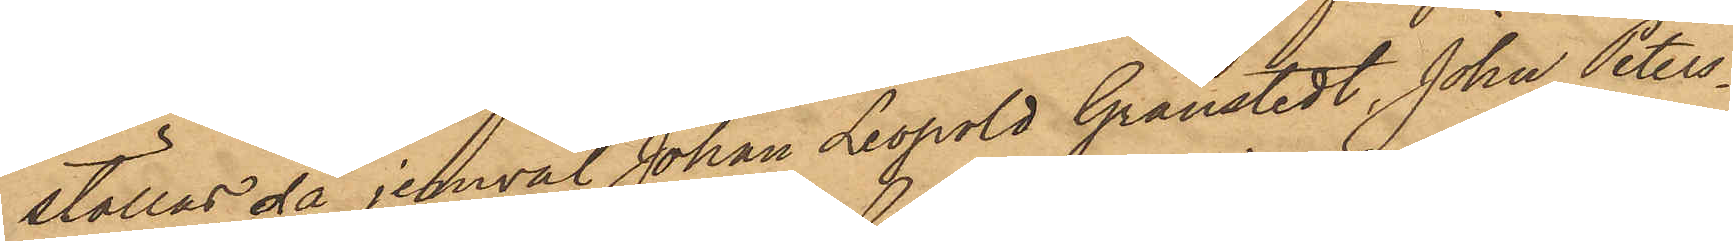ställas, då jemväl Johan Leopold Granstedt, John Peters¬
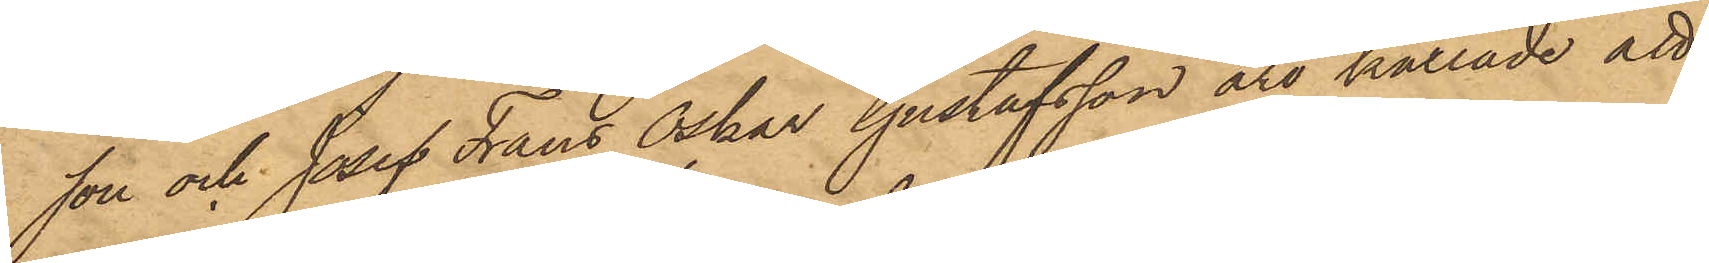son och Josef Frans Oskar Gustafsson äro kallade att
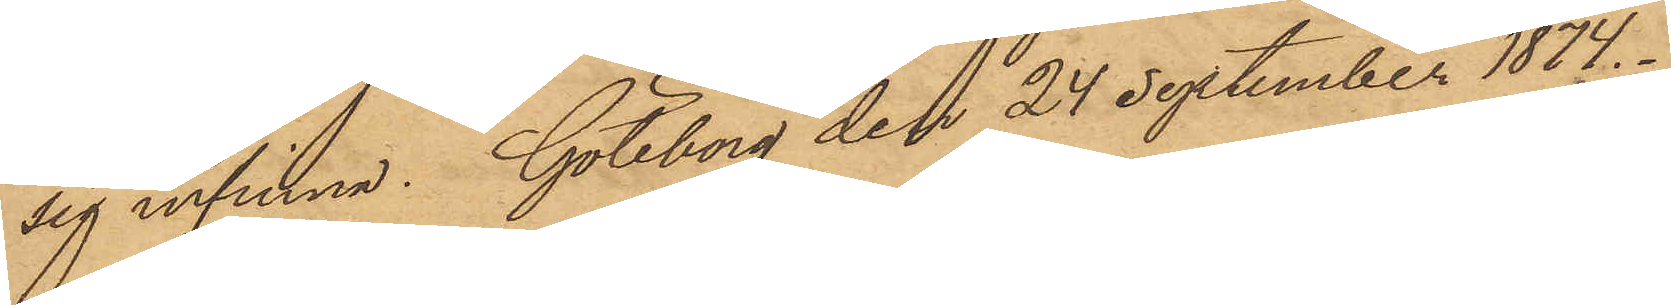sig infinna. Göteborg den 24 September 1874.
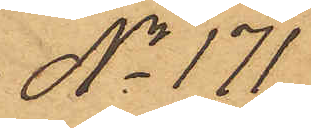No 171.
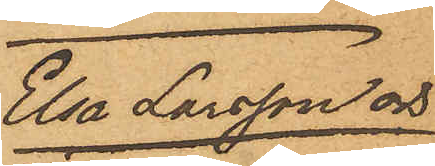Elsa Larsson och
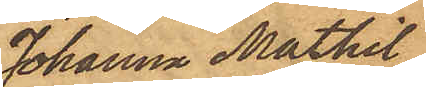Johanna Mathil-
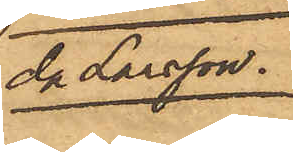da Larsson
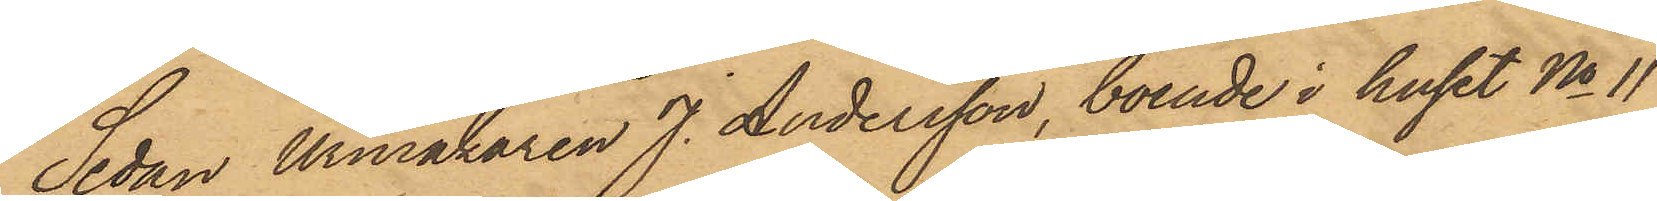Sedan Urmakaren J. Andersson, boende i huset No 11
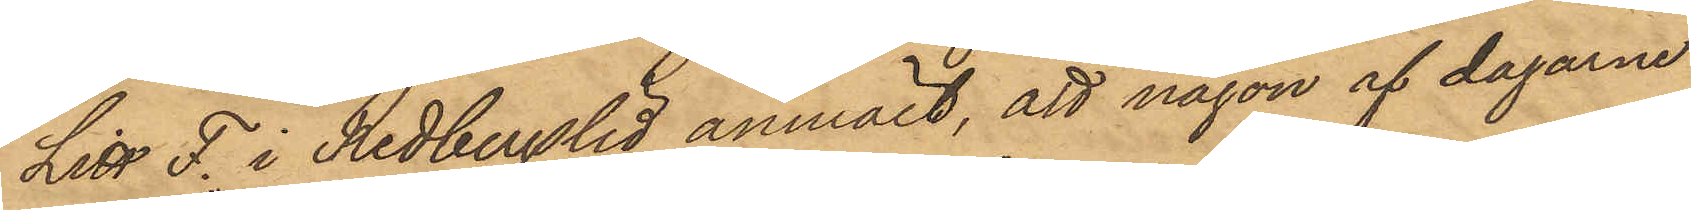Litt F. i Redbergslid anmält, att någon af dagarne
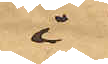i
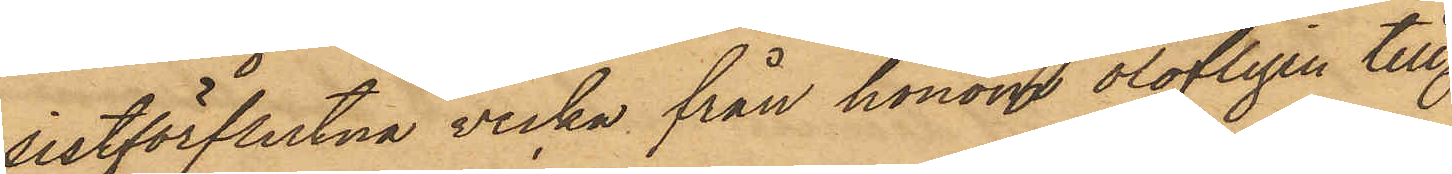sistförflutna vecka från honom olofligen till¬
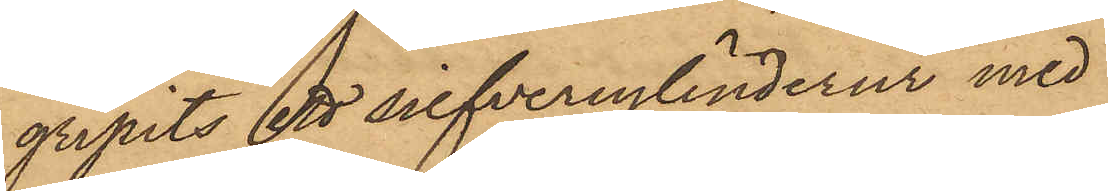gripits ett silfvercylinderur med
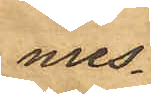mes¬
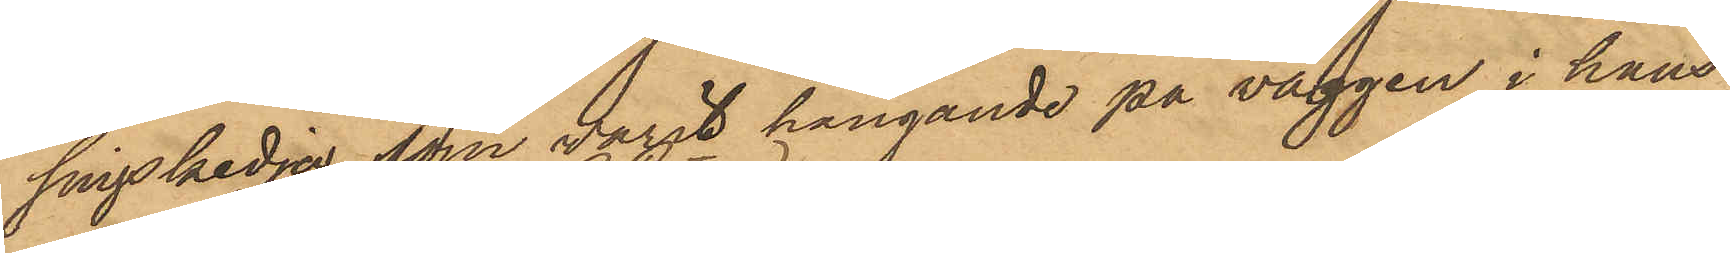singskedja, som varit hängande på väggen i hans
